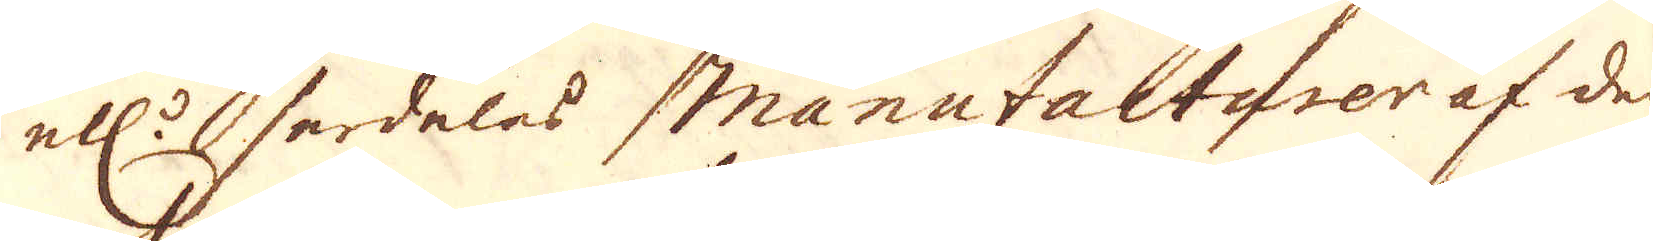ell:r serdeles Manufacturer af den
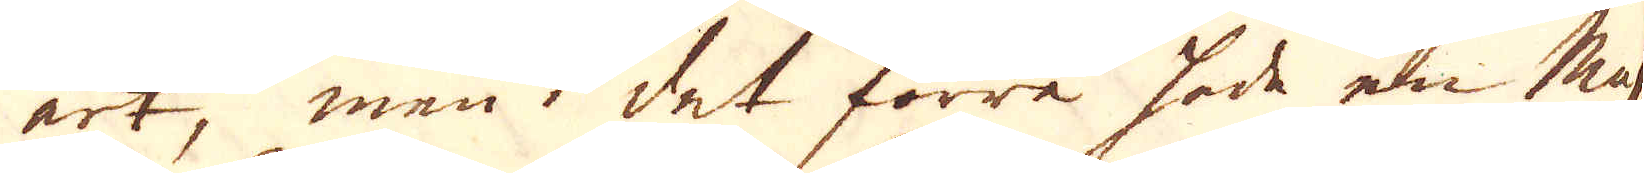art, men i det förre hade en Mas
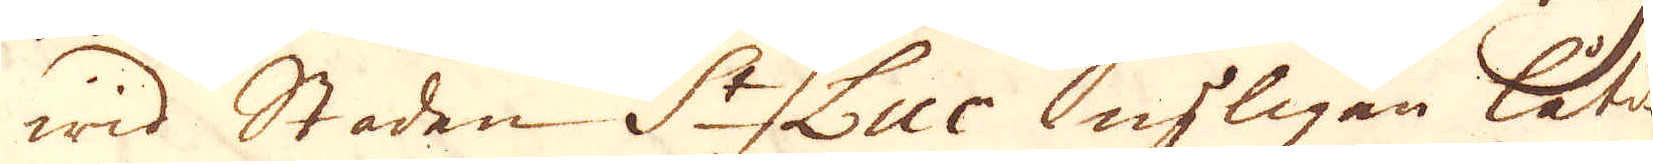wid Staden St Luc nyligän låtit
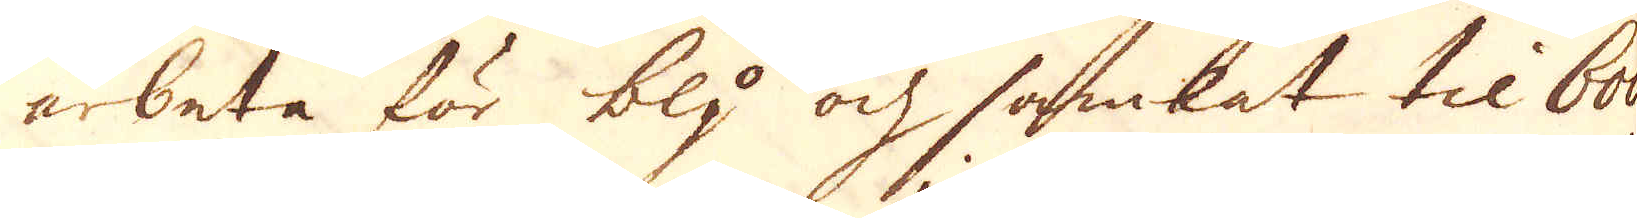arbeta för bly och samlat til 600
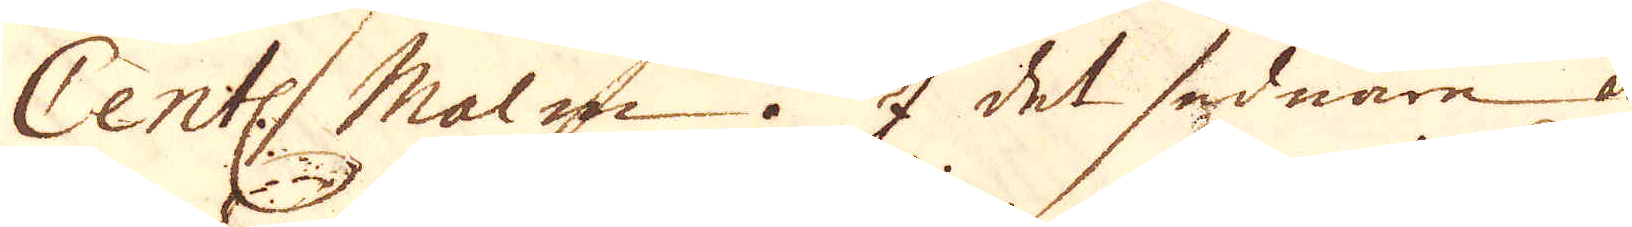Centl. Malm. I det sednare är
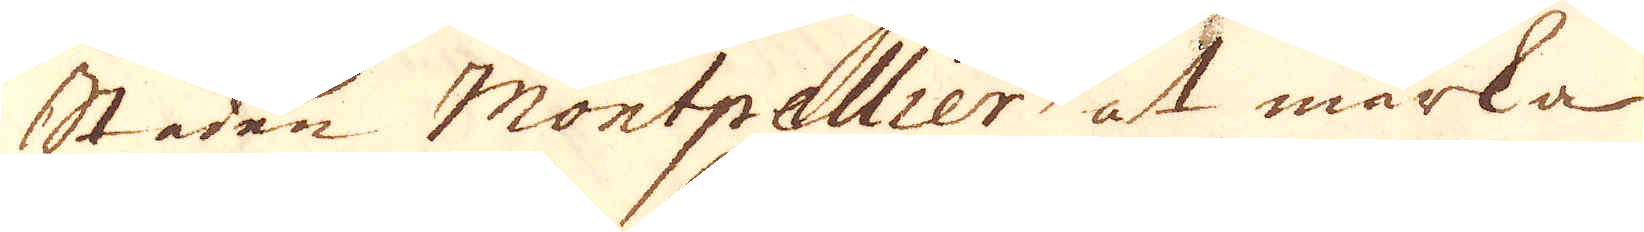staden Montpellier at märka
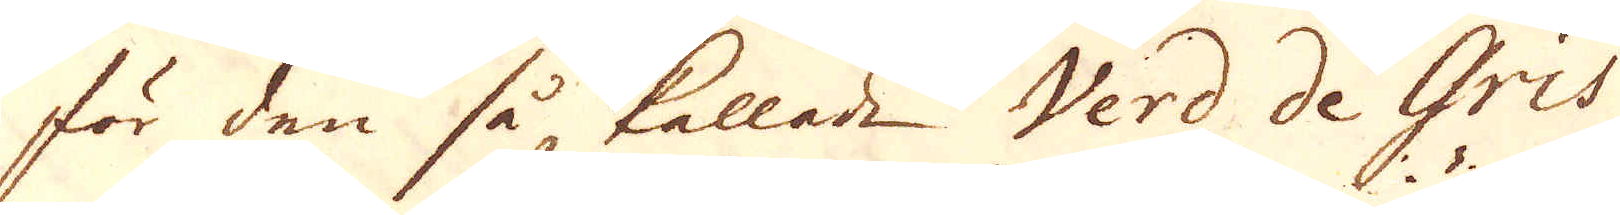för den så, kallade Verd de Gris
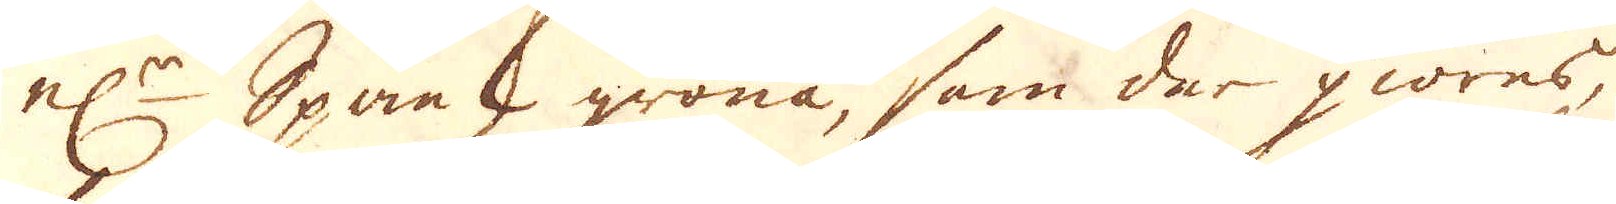nl:r Spansk gröna, som der giöras,
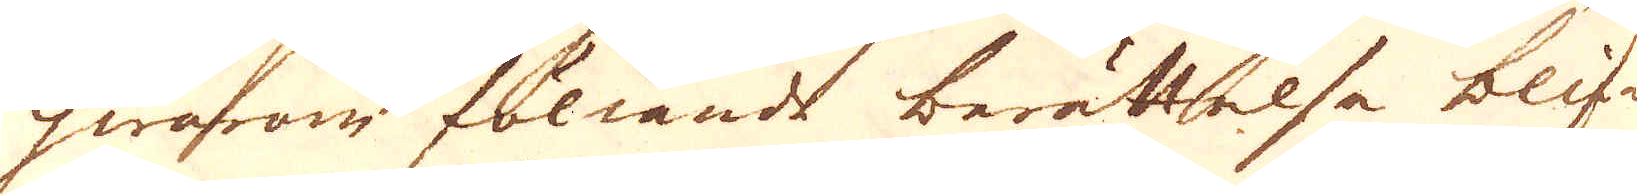hwarom föliande berättelse blif-
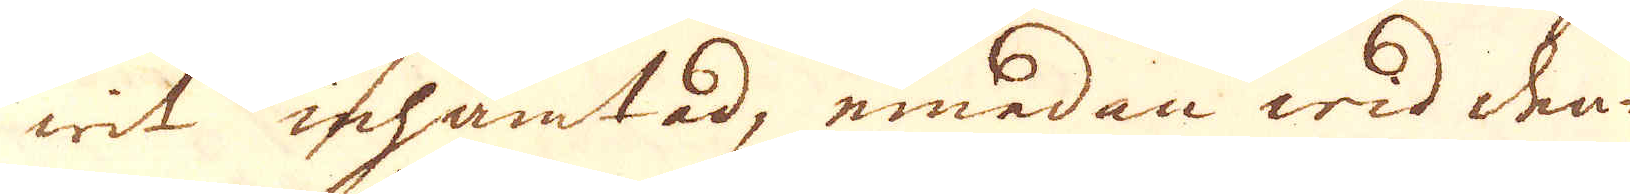wit inhämtad, emedan wid den-
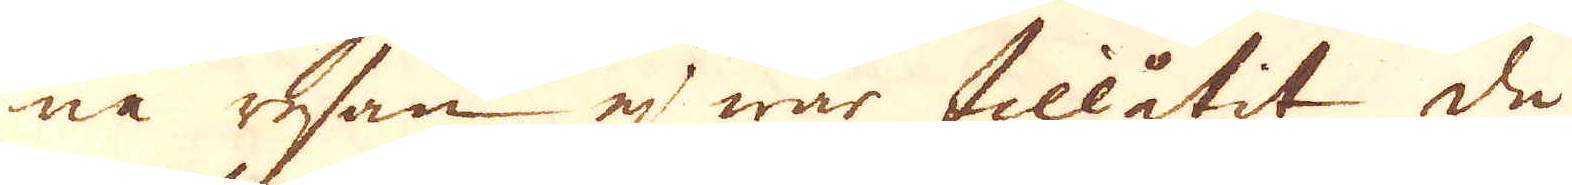na resan ej war tillåtit de
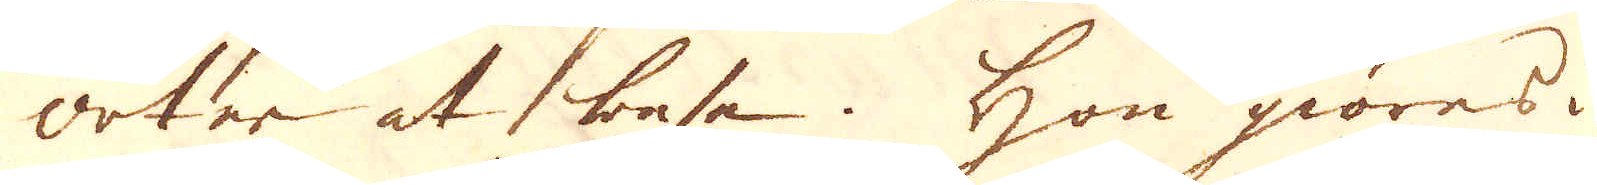orter at besa. Hon giöres i
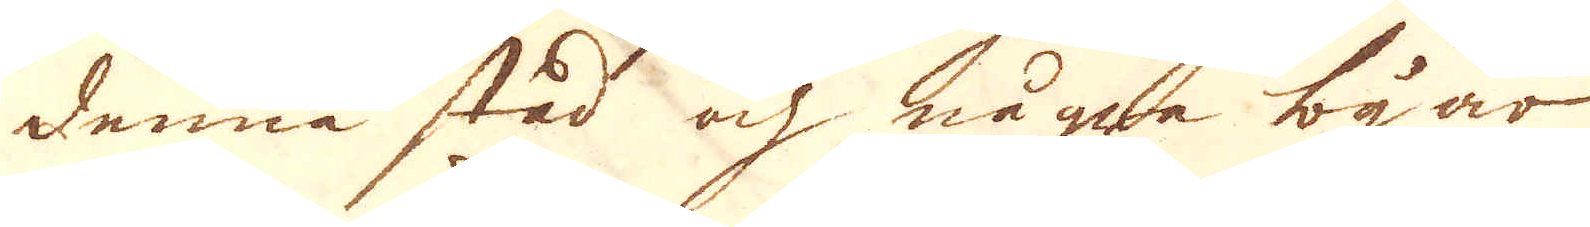denna stad och några byar
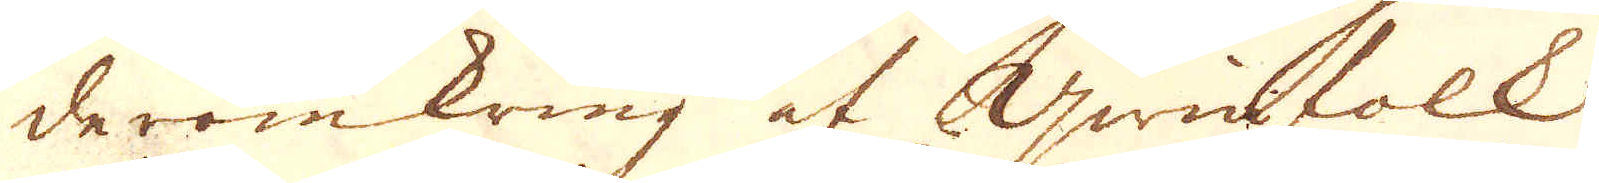deromkring af Qwinfolk,
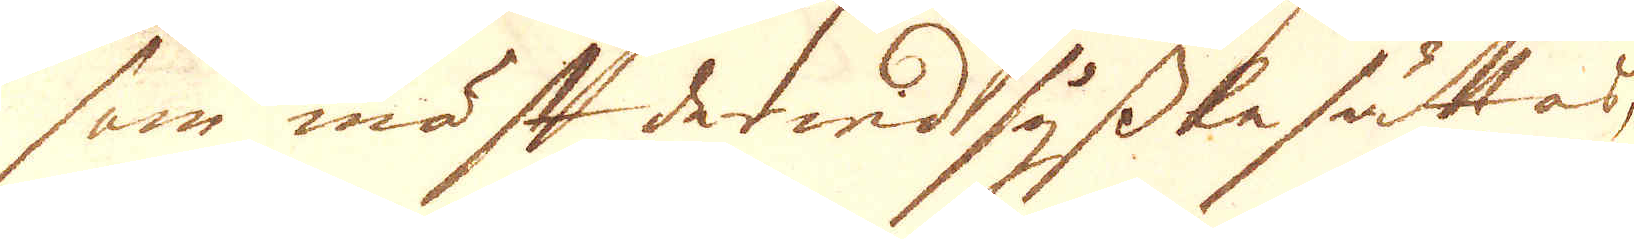som mäst der wid sysslesättas,
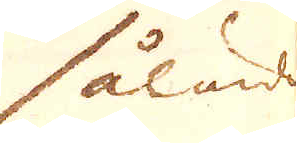sålunda
